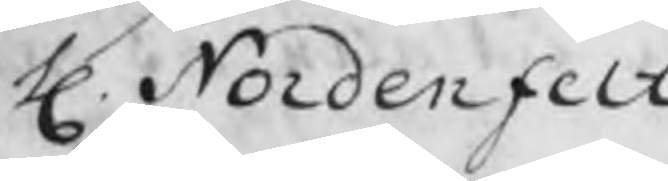H. Nordenfelt
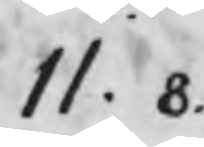11. 8.
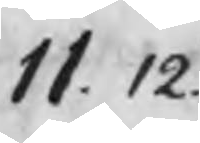11. 12.
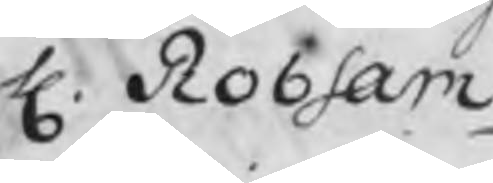H. Robsam
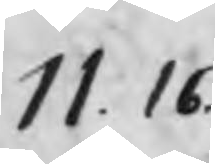11. 16.
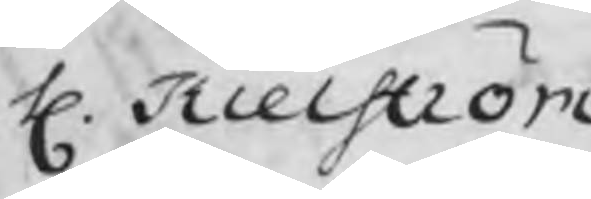H. Kielström
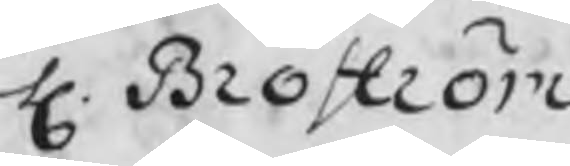H. Broström
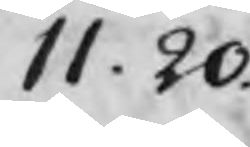11. 20.
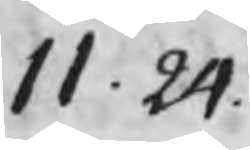11. 24.
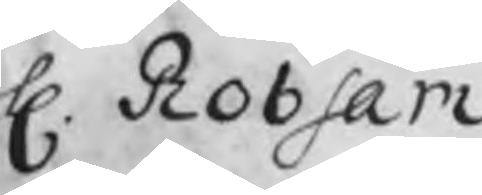H. Robsam
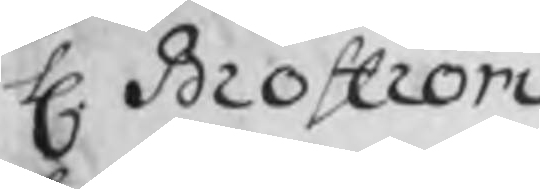H. Broström
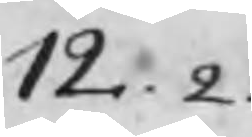12. 2.
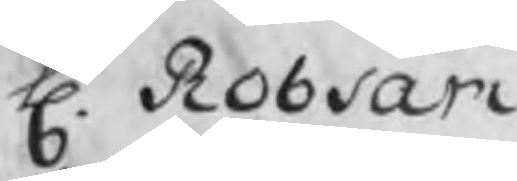H. Robsam
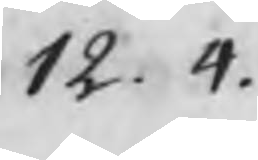12. 4.
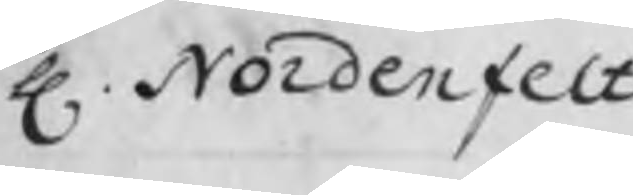H. Nordenfelt
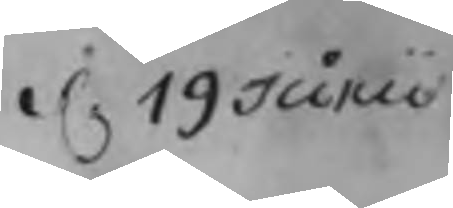d. 19 Junii
